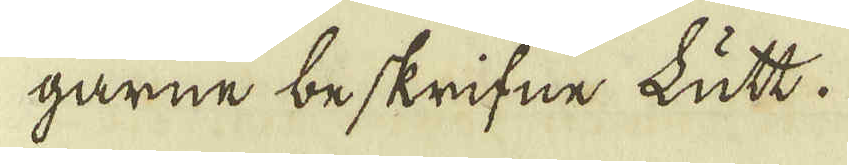garne beskrifne kutt.
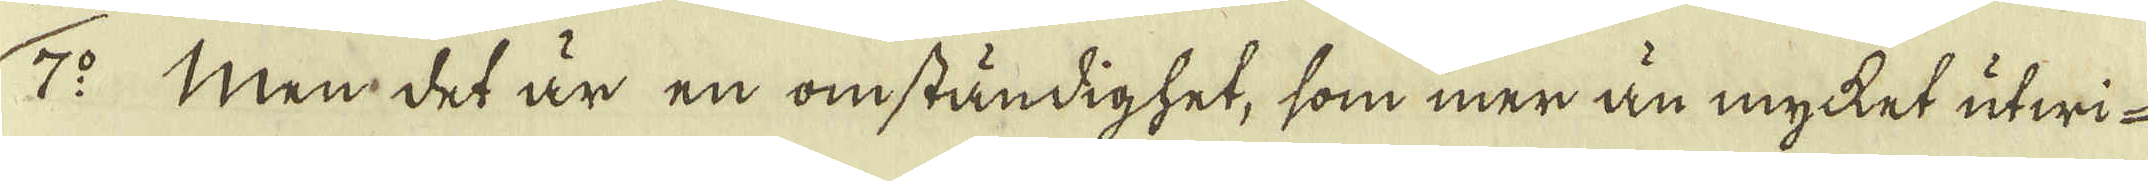7:o Men det är en omständighet, som mer än mycket utwi-
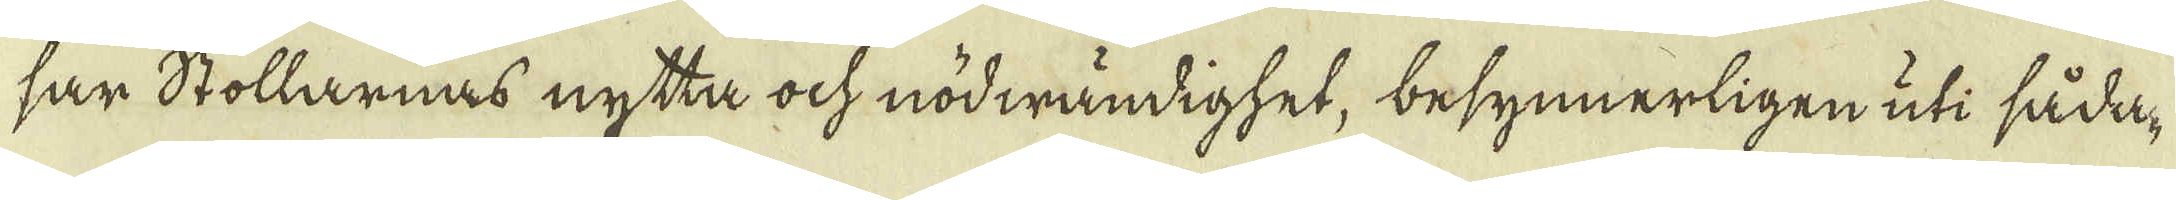sar Stollarnas nytta ock nödwändighet, besynnerligen uti såda-
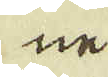ne
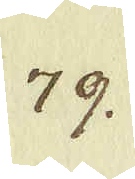79.
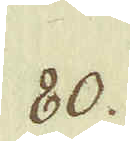80.
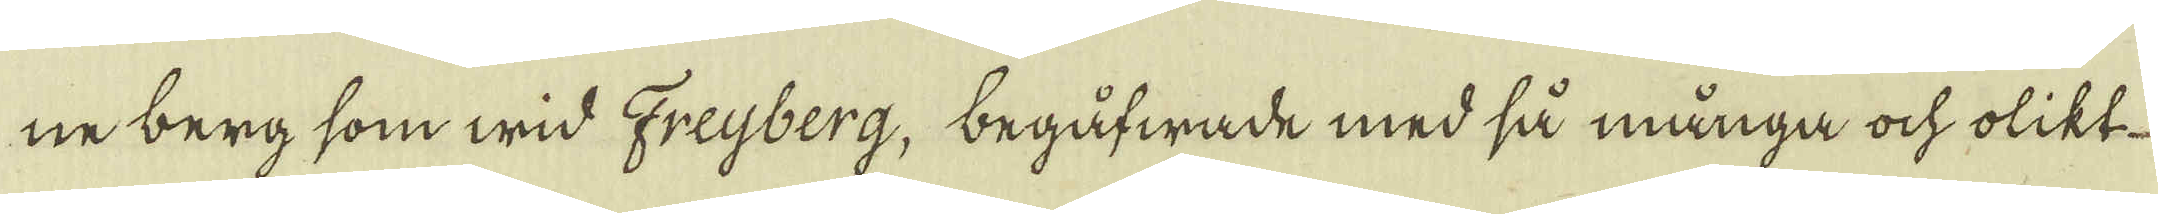ne berg som wid Freijberg, begåfwade med så många ock olikt-
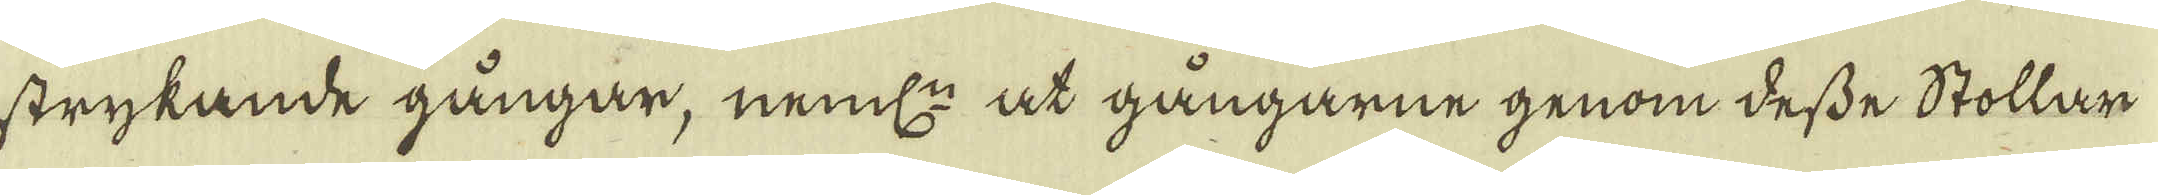strykande gångar, neml: at gångarne genom desse Stollar
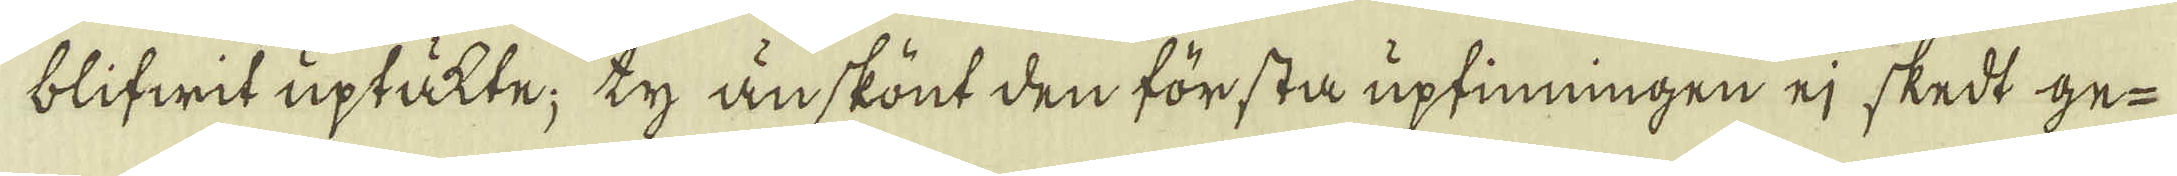blifwit uptåtte; ty än skönt den första uptinningen ej skedt ge-
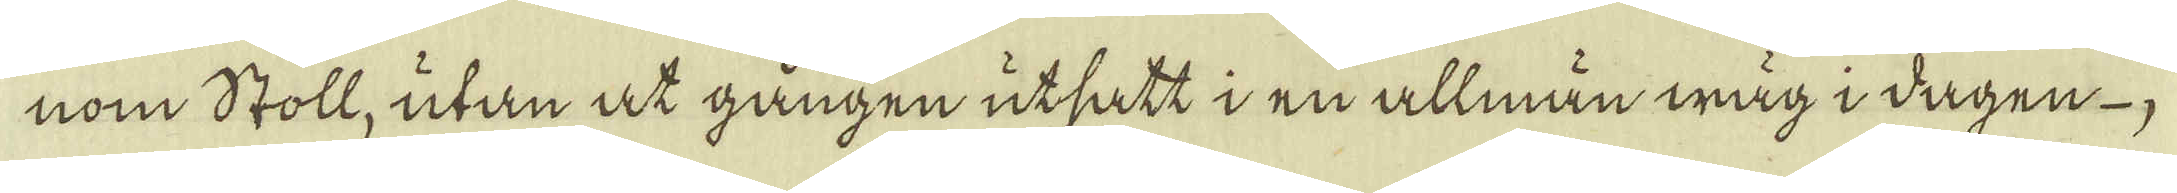nom Stoll, utan at gången utsatt i en allman wäg i dagen
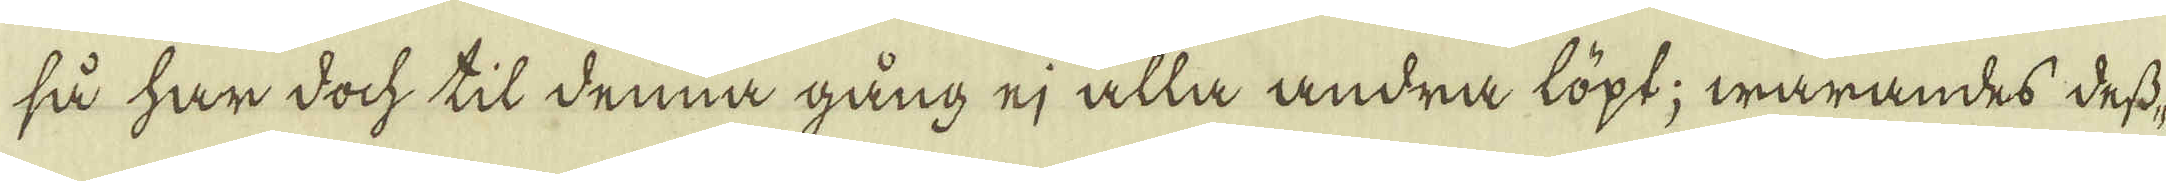så har doch til denna gång ej alla andra löpt; warandes dess-
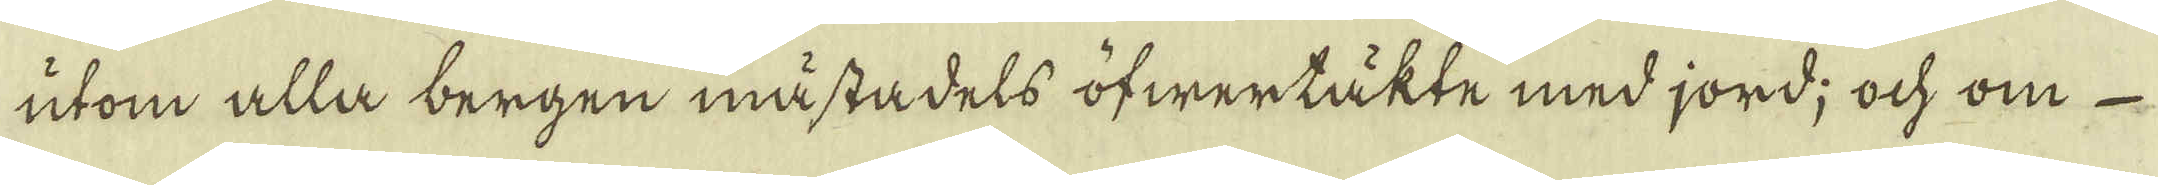utom alla bergen måstadels öfwertakte med jord; ock om
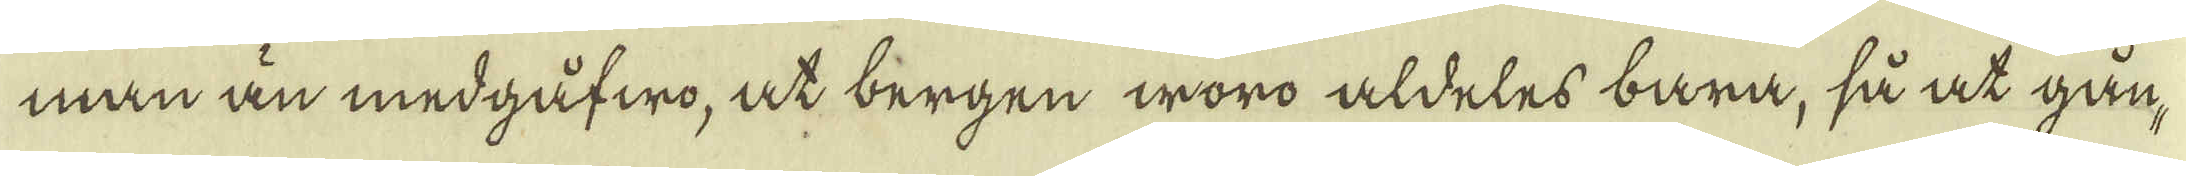man än medgåfwo, at bergen woro aldeles bara, så at gån-
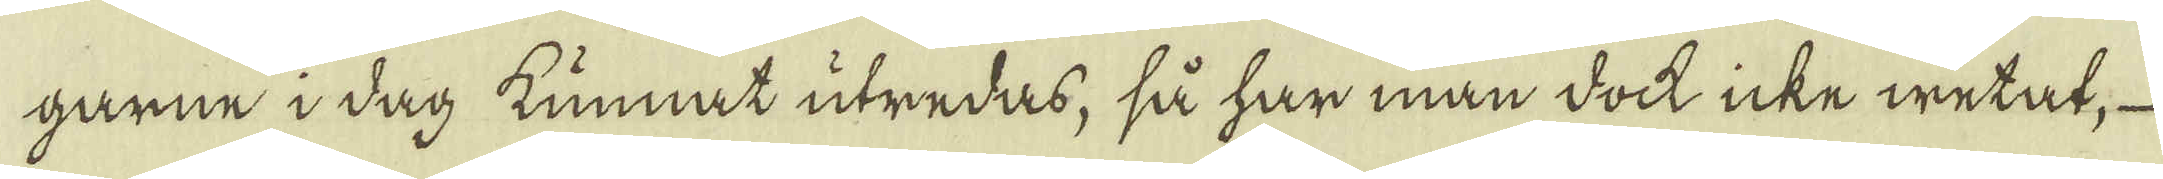garne i dag kunnat utredas, så har man dock icke wetat,
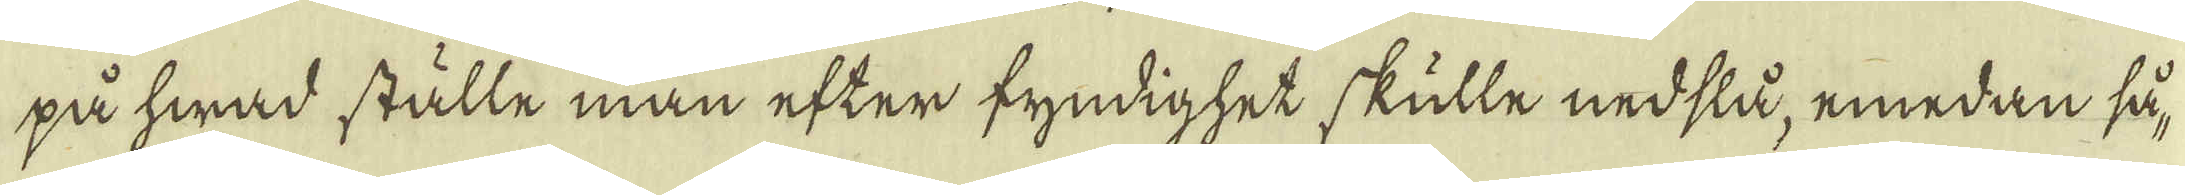på hwad ställe man efter fyndighet skulle nedslå, emedan så-
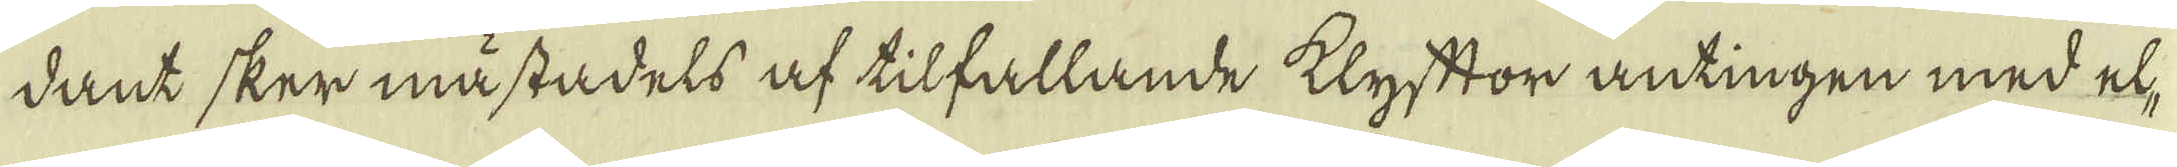dant sker måstadels af tilfallande klyftor antingen med el-
